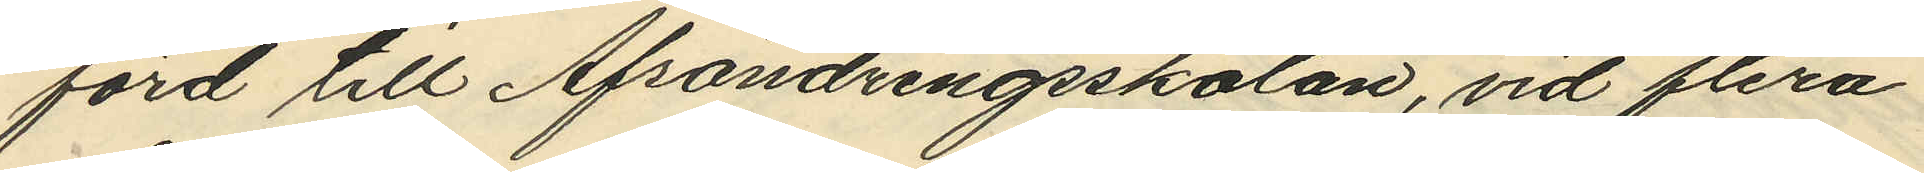förd till Afsöndringsskolan, vid flera
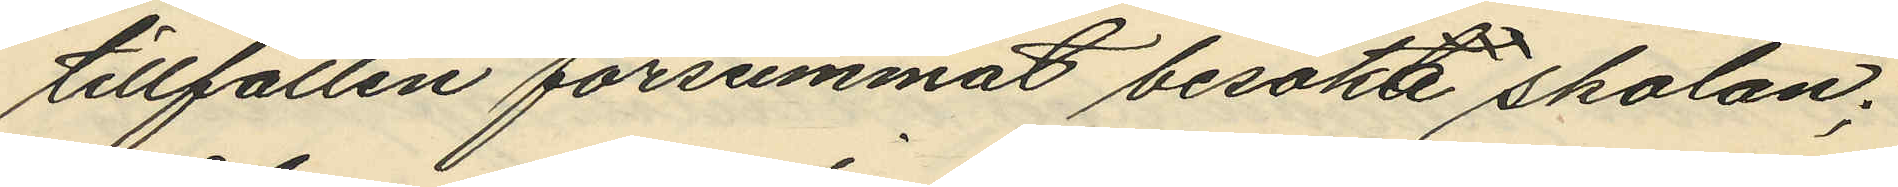tillfällen försummat besöka skolan;
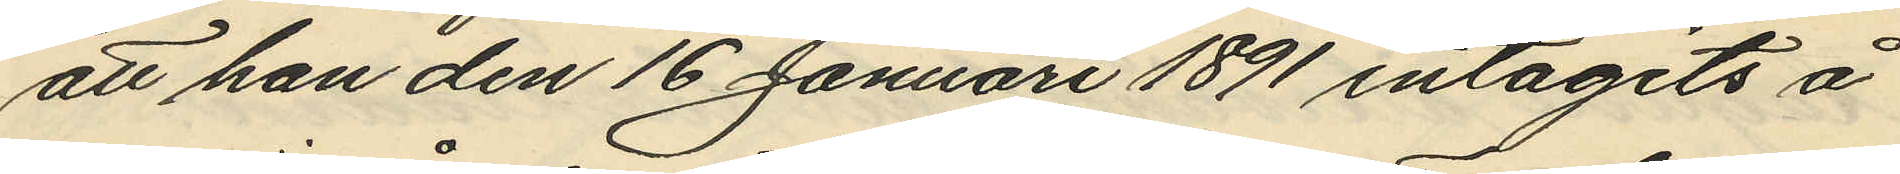att han den 16 Januari 1891 intagits å
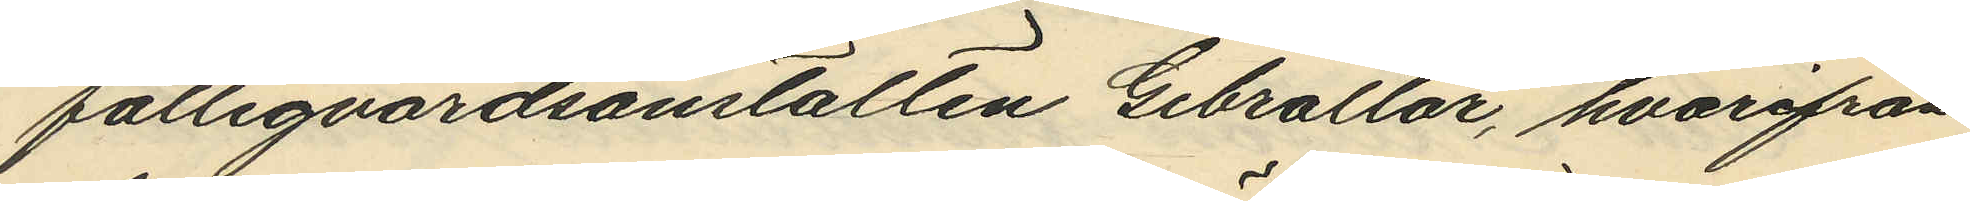fattigvårdsanstalten Gibraltar, hvarifrån
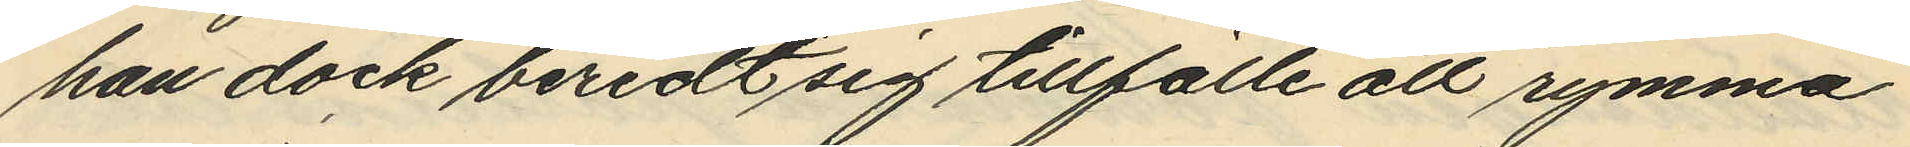han dock beredt sig tillfälle att rymma
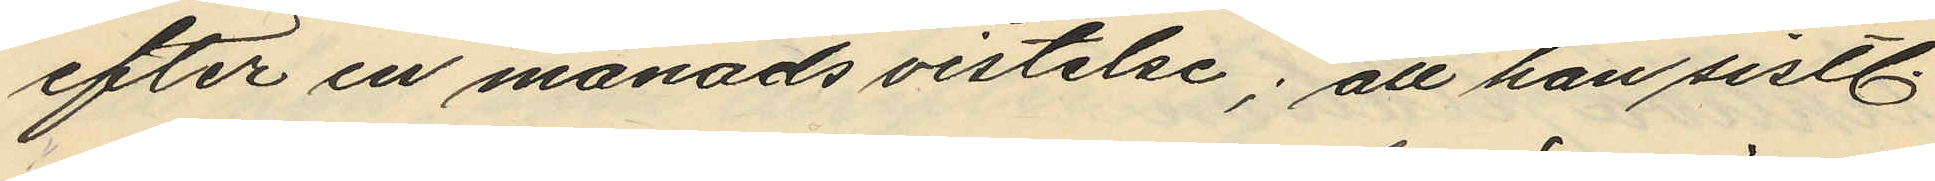efter en månads vistelse; att han sistl
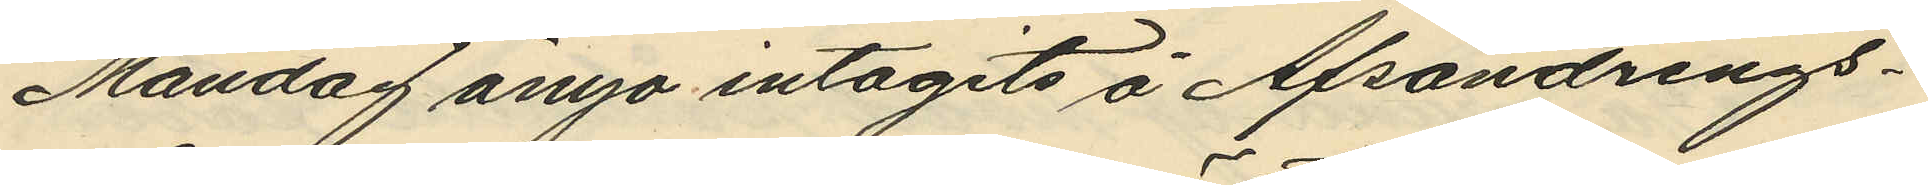Måndag ånyo intagits å Afsöndrings¬
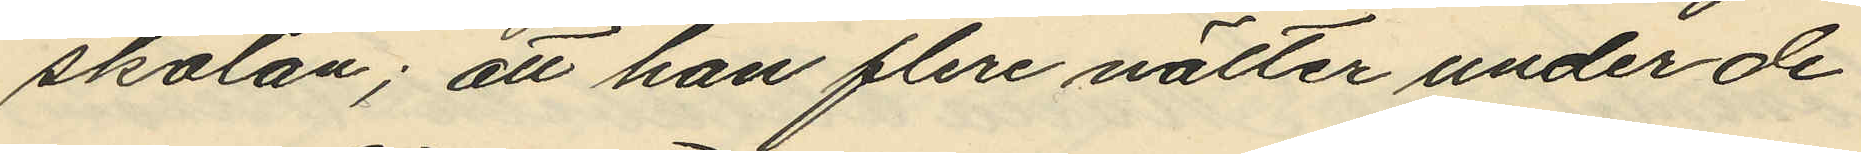skolan; att han flere nätter under de
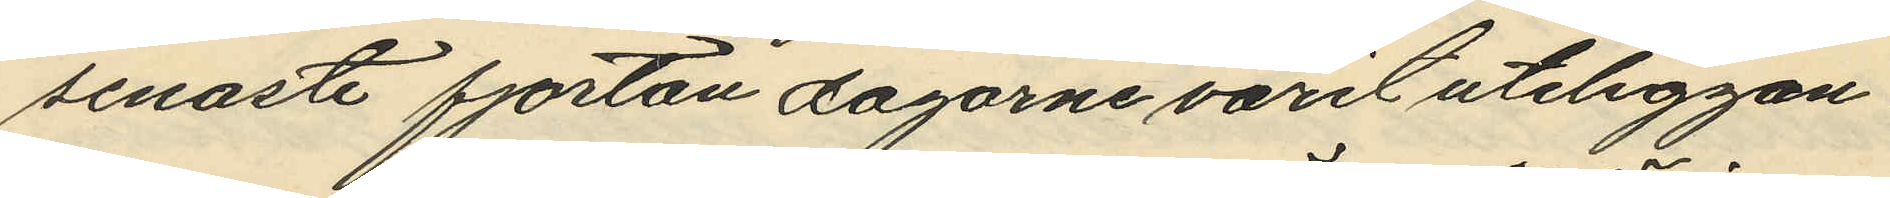senaste fjorton dagarne varit uteliggan¬
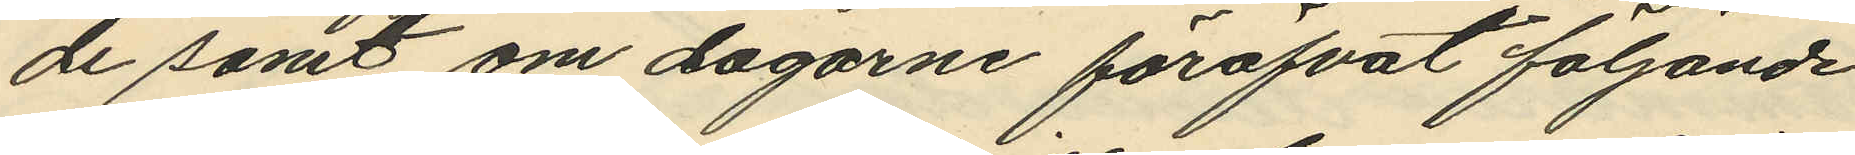de samt om dagarne föröfvat följande
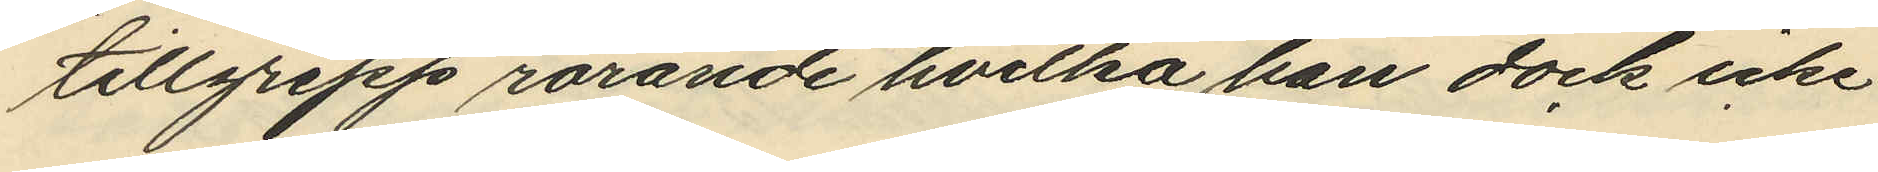tillgrepp rörande hvilka han dock icke
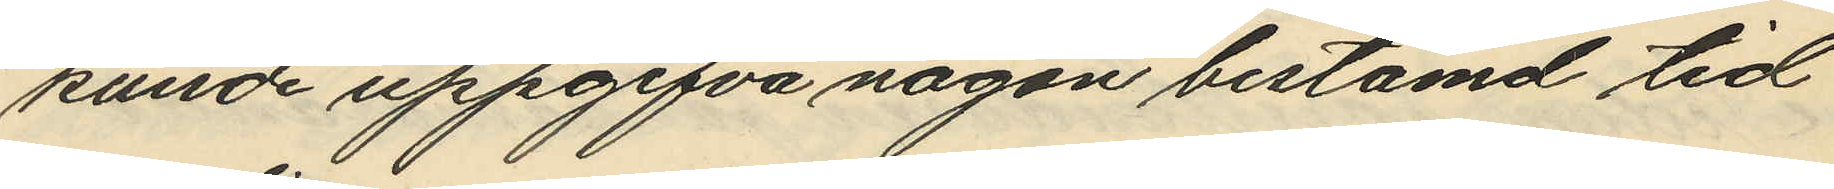kunde uppgifva någon bestämd tid
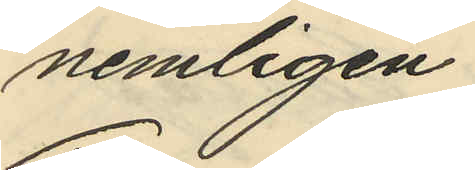nemligen
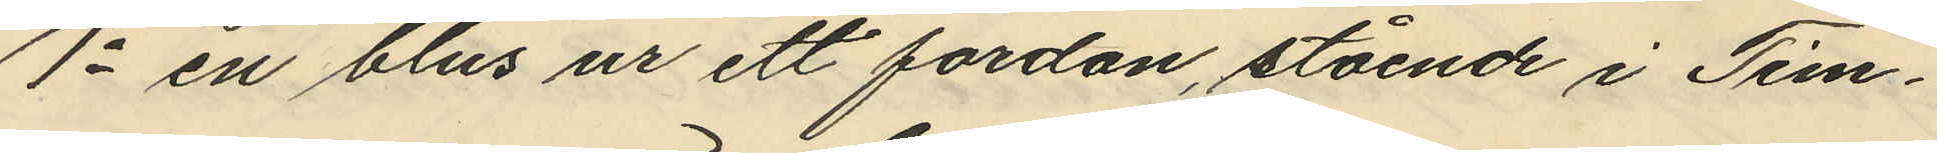1o en blus ur ett fordon, stående i Tim¬
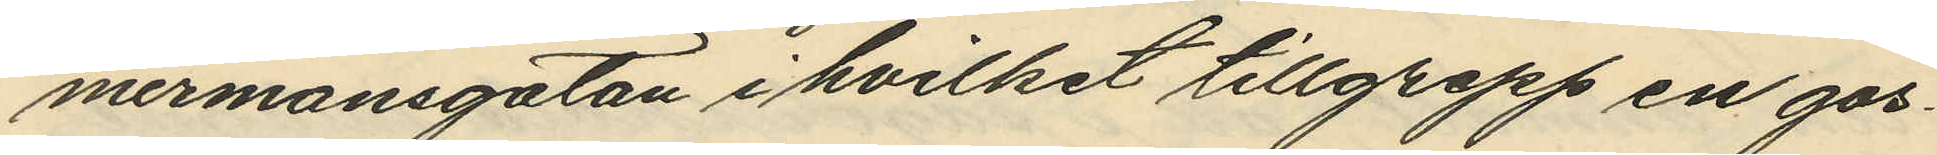mermansgatan i hvilket tillgrepp en gos¬
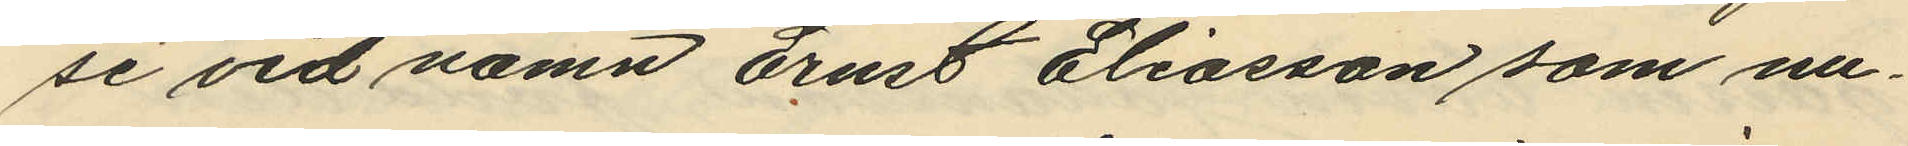se vid namn Ernst Eliasson som nu¬
